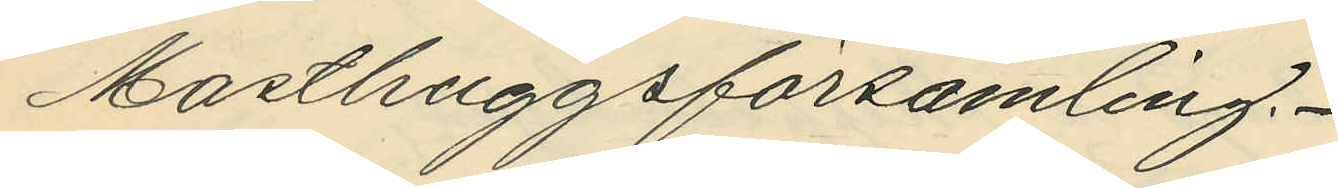Masthuggsförsamling.
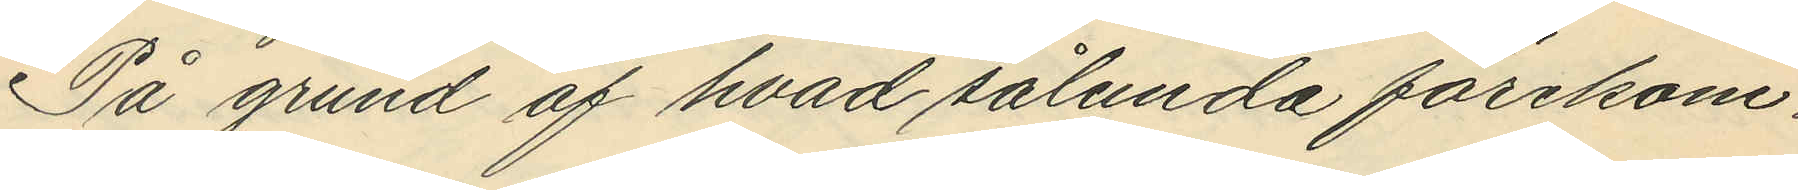På grund af hvad sålunda förekom¬
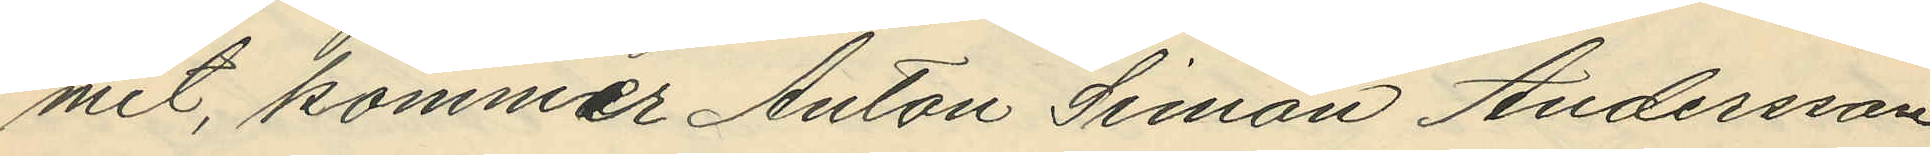mit, kommer Anton Simon Andersson
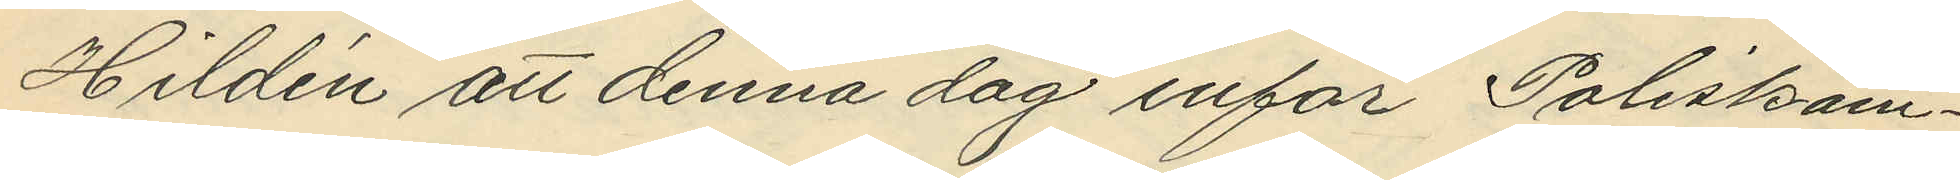Hildén att denna dag inför Poliskam¬
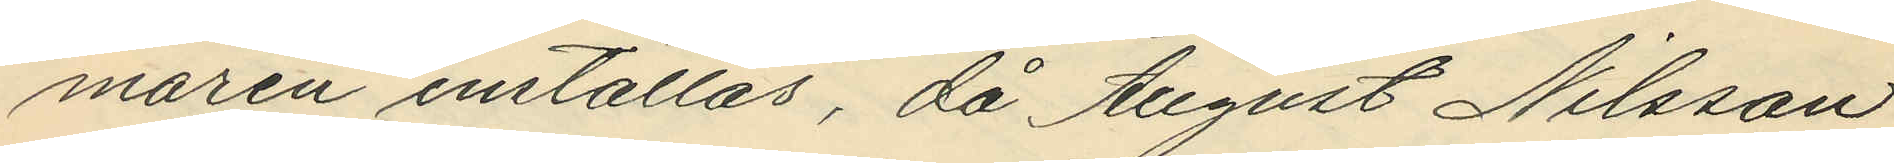maren inställas, då August Nilsson
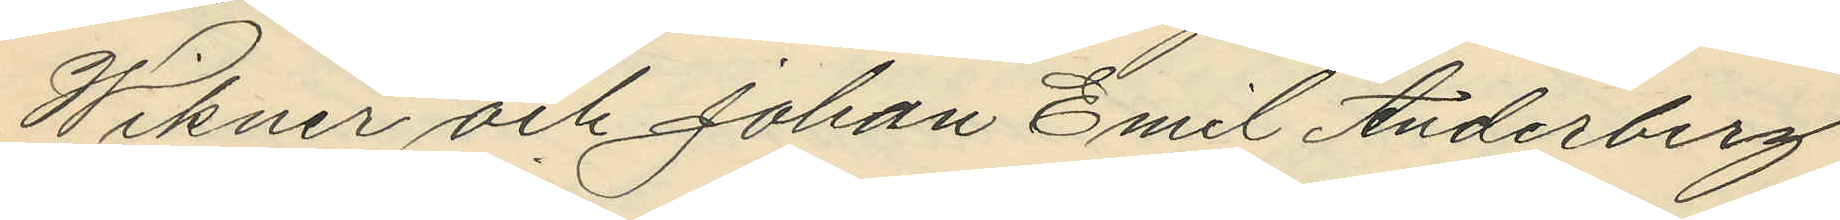Wikner och Johan Emil Anderberg
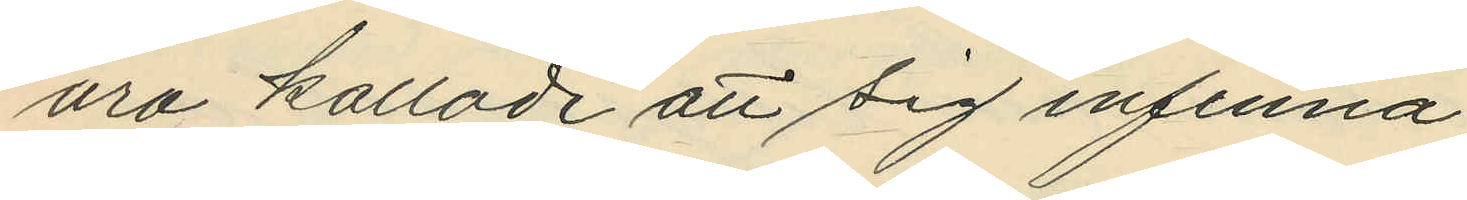äro kallade att sig infinna.
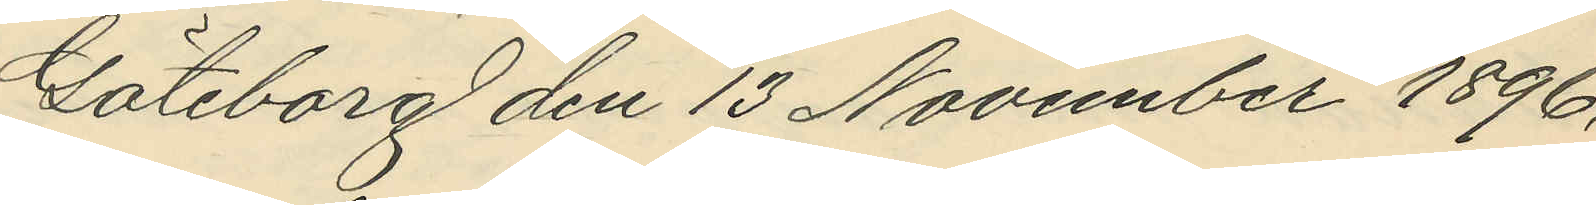Göteborg den 13 November 1896.
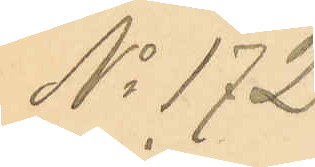No 172.
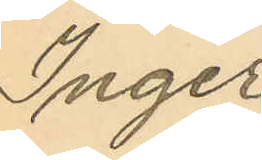Inger
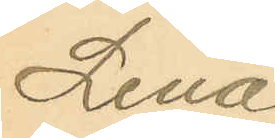Lena
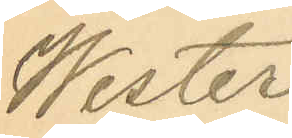Wester¬
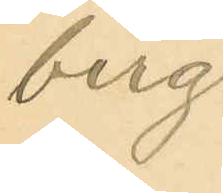berg.
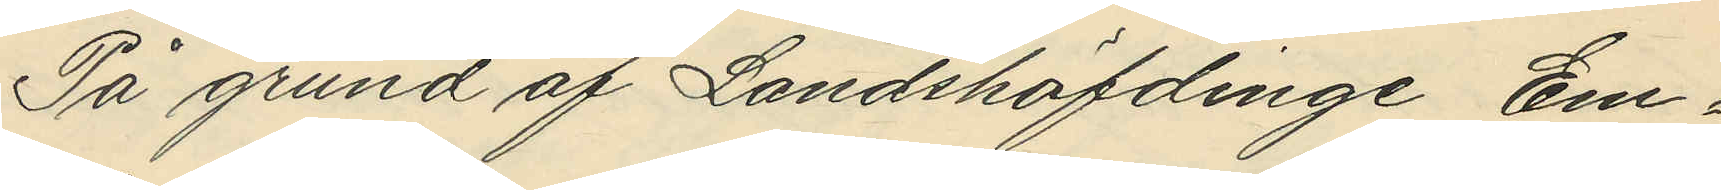På grund af Landshöfdinge Em¬
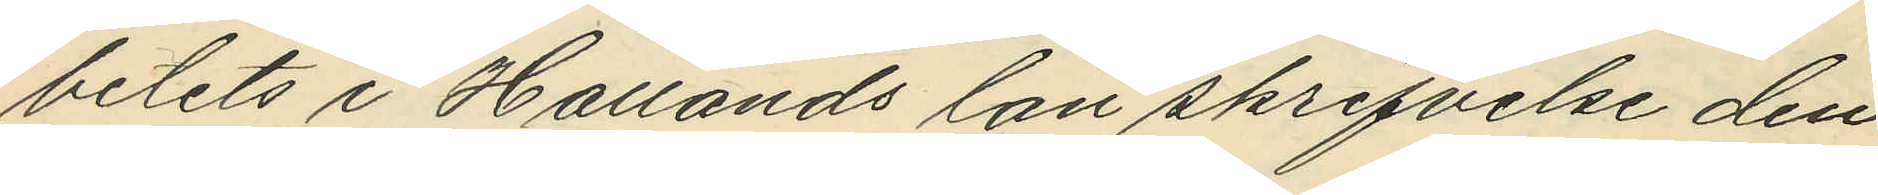betets i Hallands län skrifvelse den
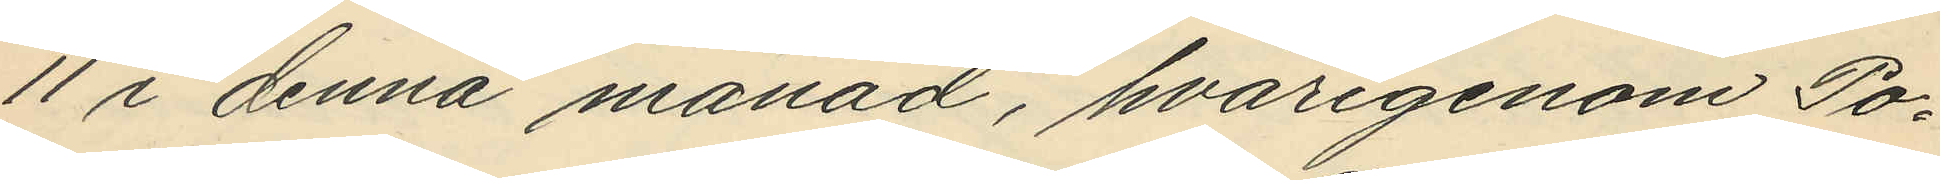11 i denna månad, hvarigenom Po¬
